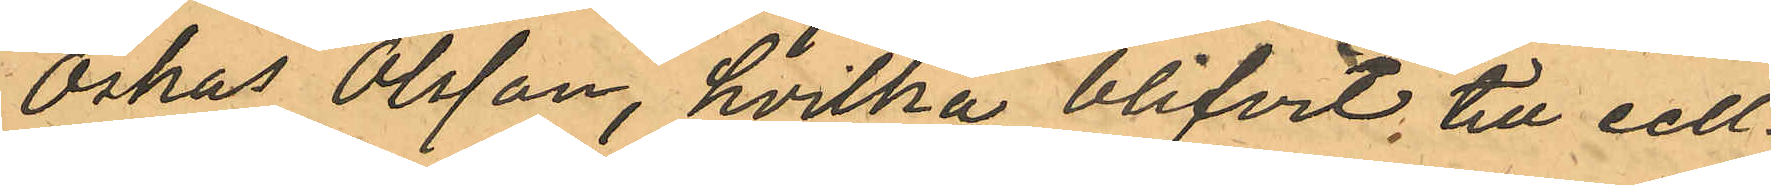Oskar Olsson, hvilka blifvit till cell¬
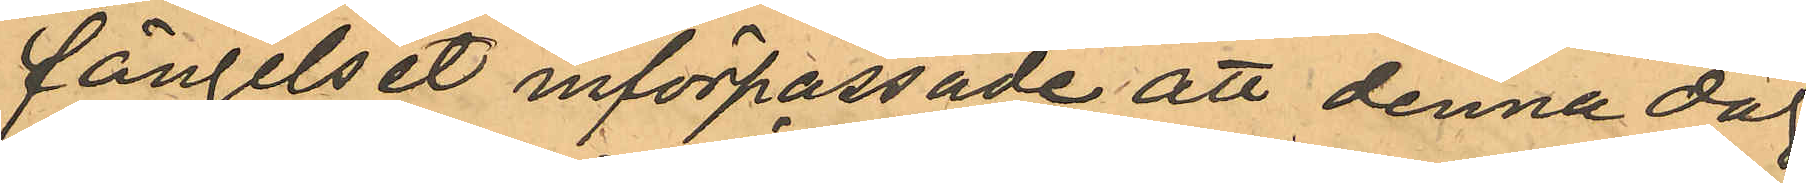fängelset införpassade att denna dag
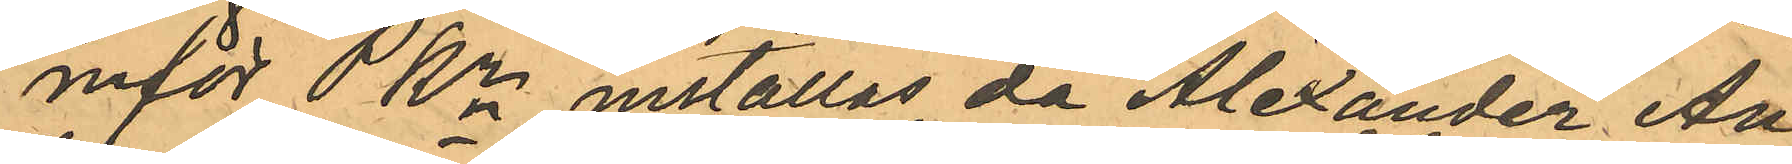inför PKn inställas, då Alexander An¬
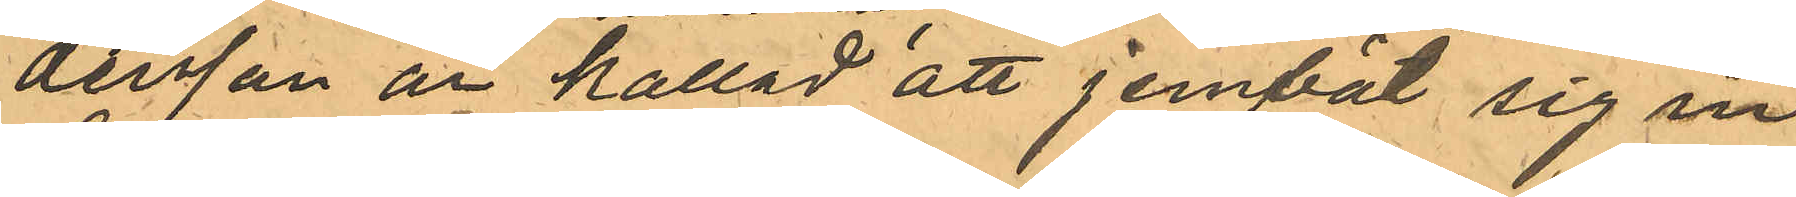dersson är kallad att jemväl sig in¬
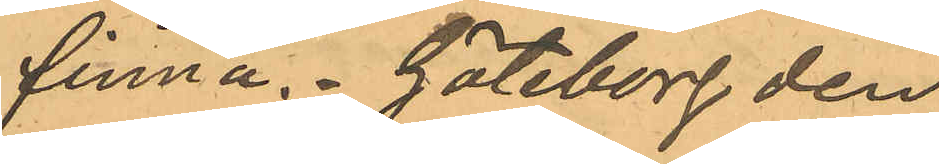finna. Göteborg den
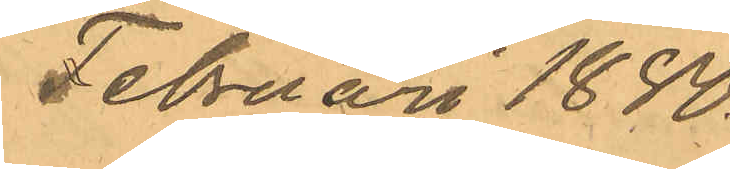Februari 1880.
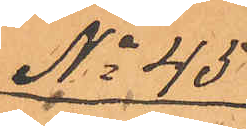No 45
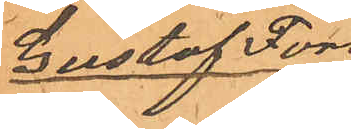Gustaf Fors¬
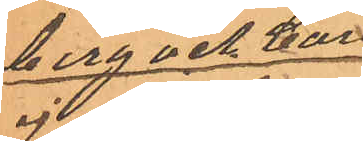berg och Carl
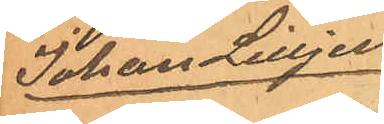Johan Lilljen¬
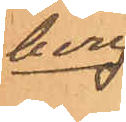berg
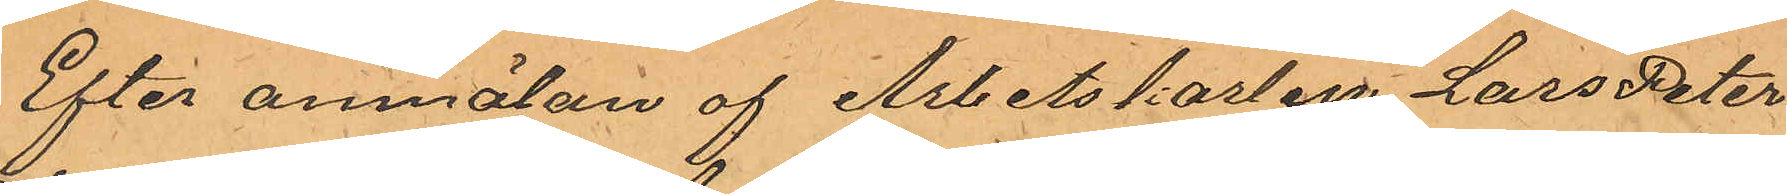Efter anmälan af Arbetskarlen Lars Peter
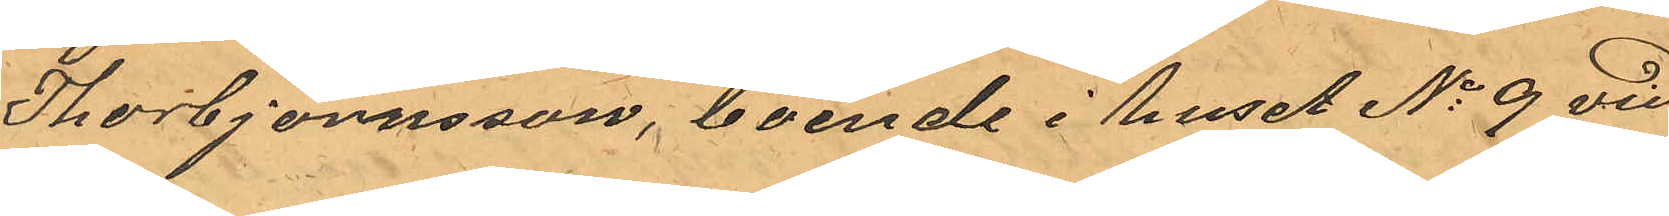Thorbjörnsson, boende i huset No 9 vid
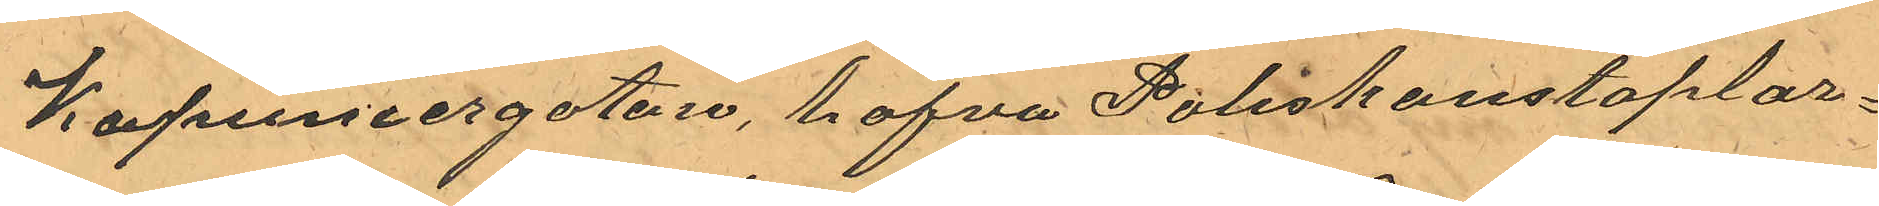Kapuniergatan, hafva Poliskonstaplar¬
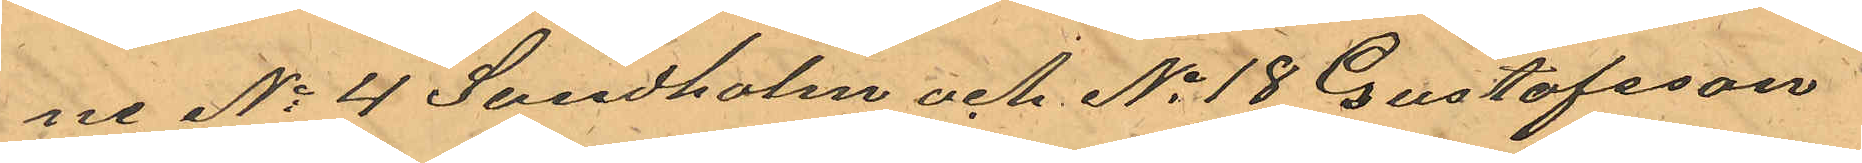ne No 4 Sundholm och No 19 Gustafsson
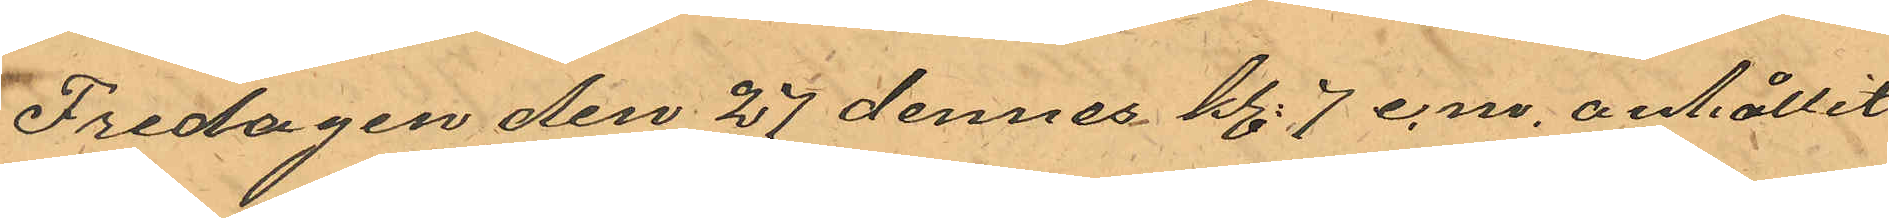Fredagen den 27 dennes kl. 7 e.m. anhållit
